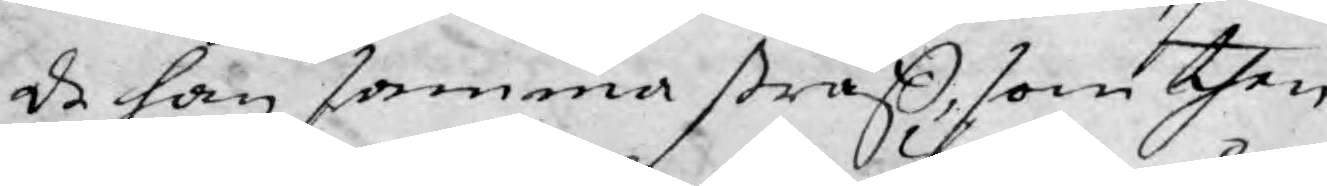de han samma straff, som then
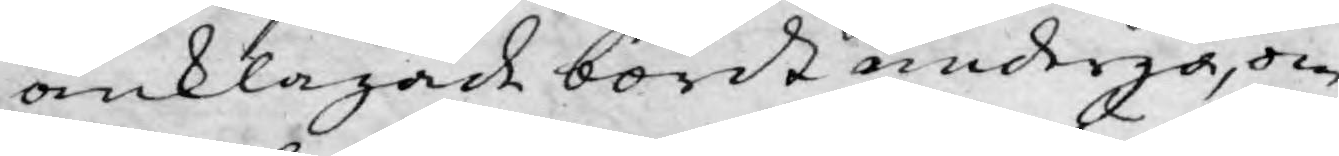anklagade bordt undergå, om
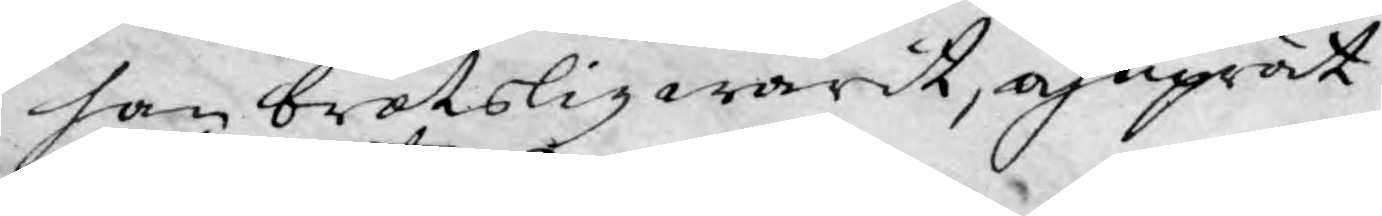han brotslig warit, och uprät¬
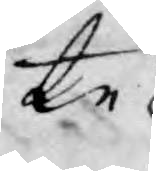te
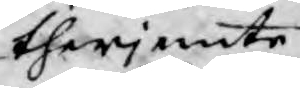therjemte
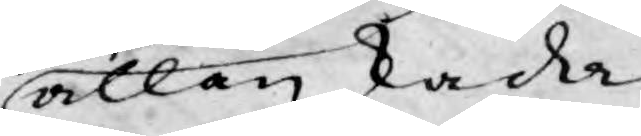allan skade.
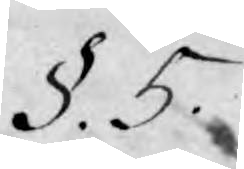§. 5.
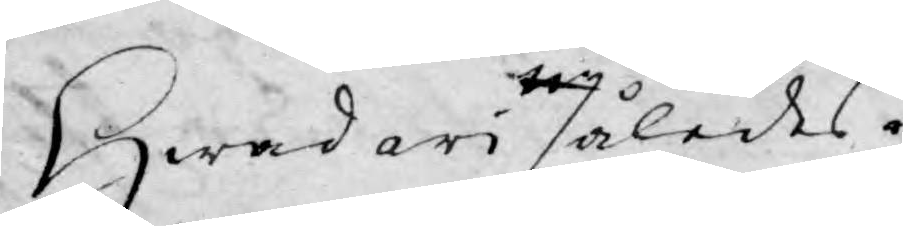Hwad således
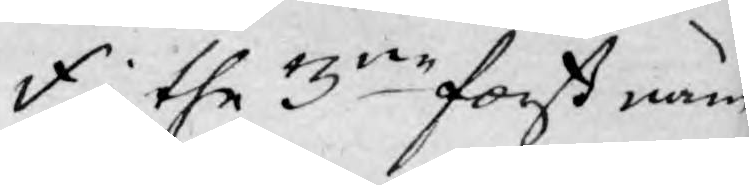i the 3ne först näm¬
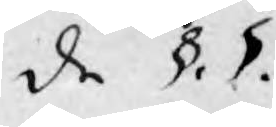de §. §.
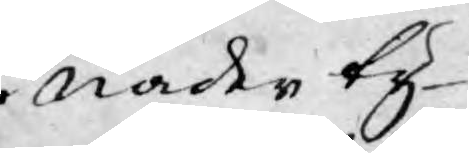i Nåder ty¬
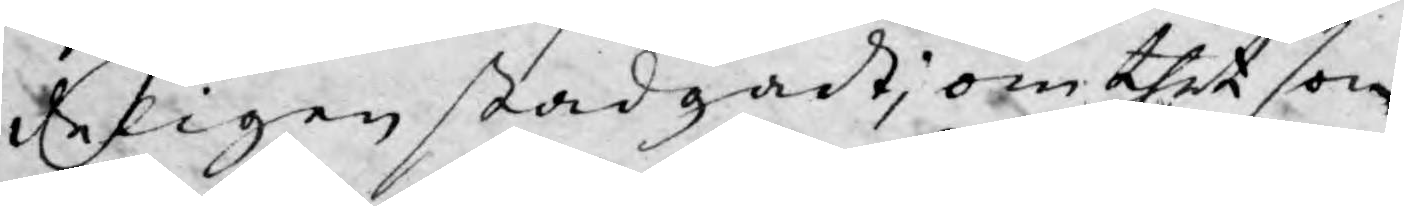deligen stadgadt, om thet som
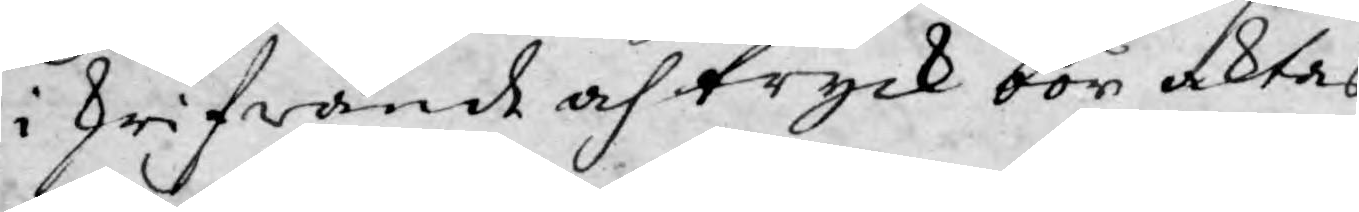i skrifwande och tryck bör aktas
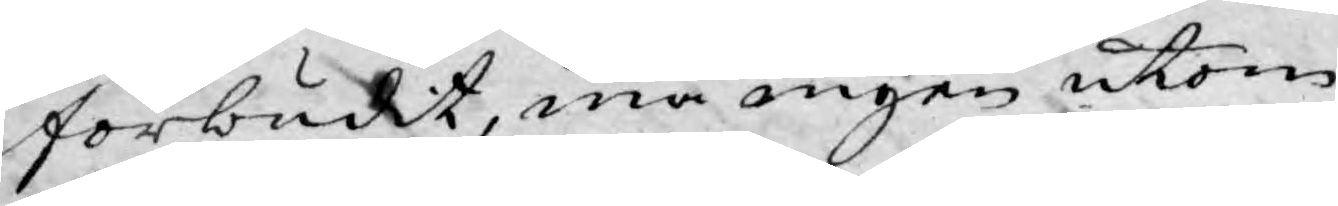förbudit, må ingen utom
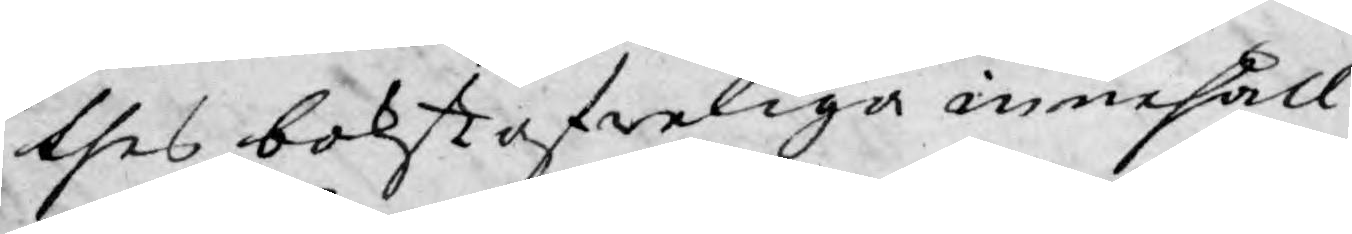thes bokstafweliga innehåll
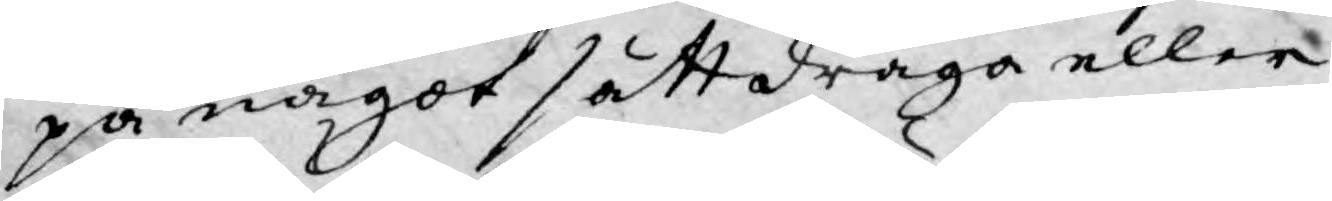på något sätt draga eller
